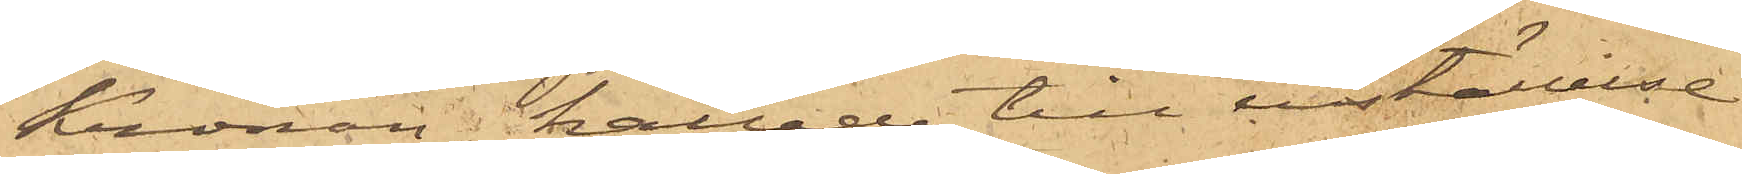Kronan, kallade till inställelse
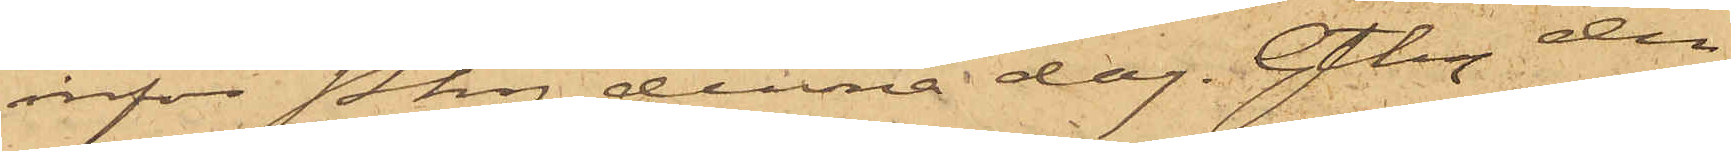inför Pkn denna dag. Gtbg den
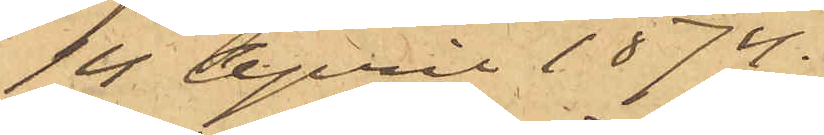14 April 1874.
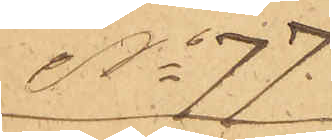No 77
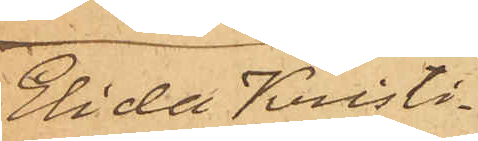Elida Kristi¬
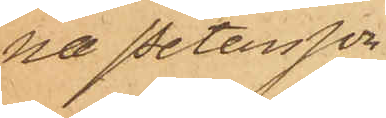na Petersson
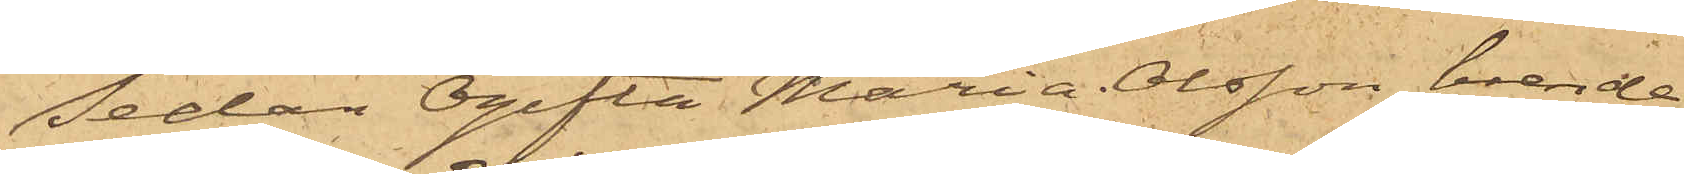Sedan Ogifta Maria Olsson, boende
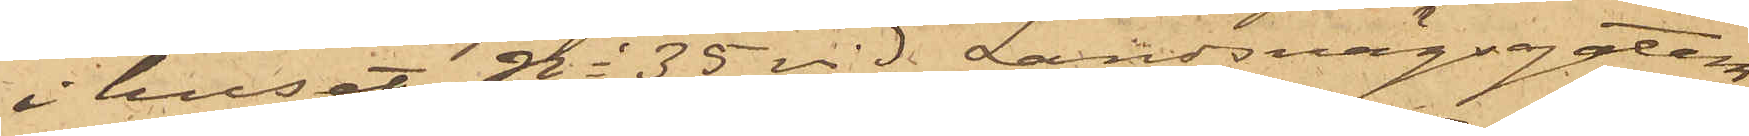i huset No 35 vid Landsvägsgatan,
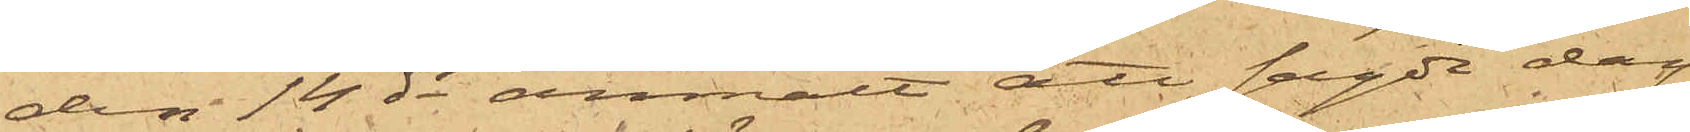den 14 ds anmält att sagde dag
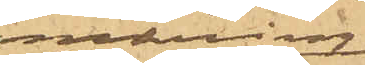omkring
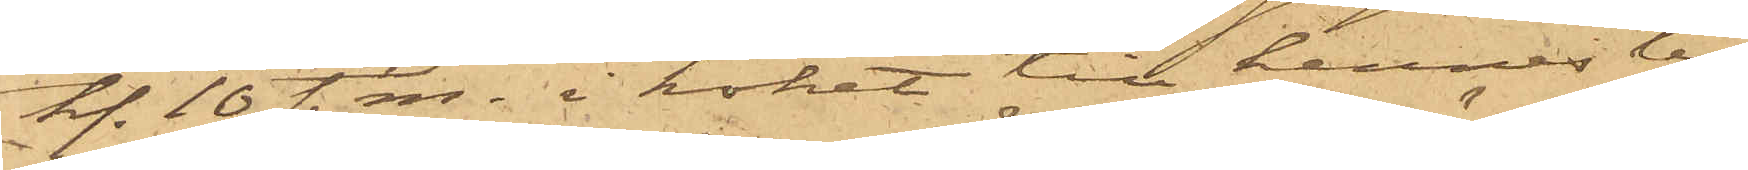kl. 10 f. m. i köket till hennes bo¬
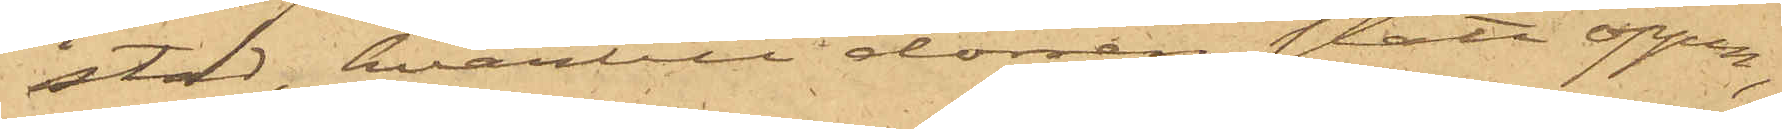stad, hvartill dörren stått öppen,
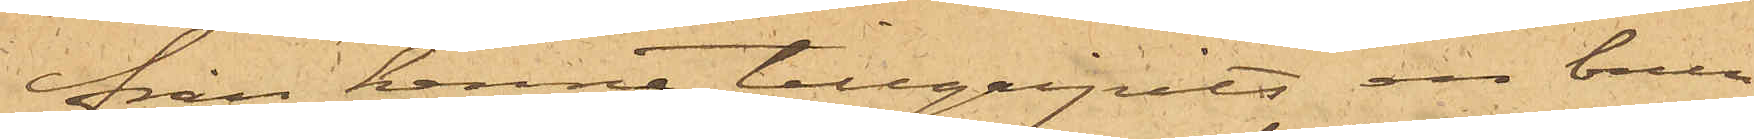ifrån henne tillgripits en brun
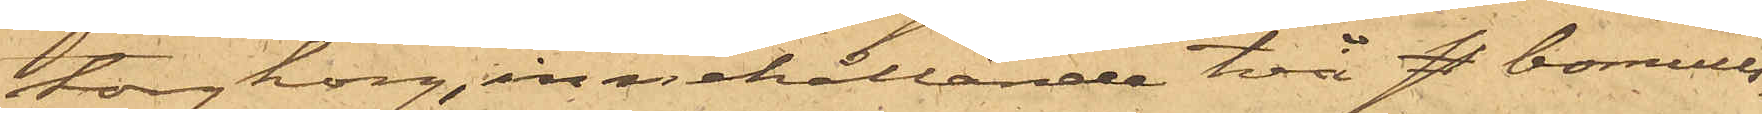torgkorg, innehållande två st. bomulls¬
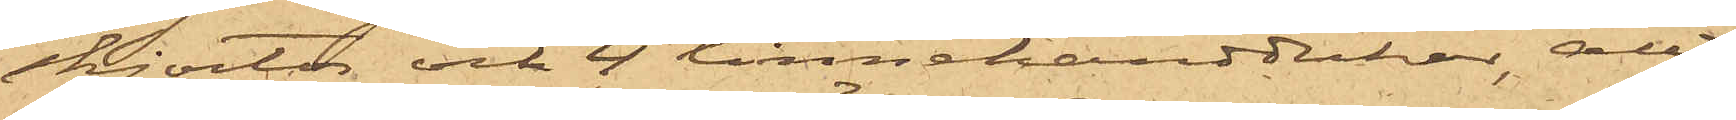skjortor och 4 linnehanddukar, allt
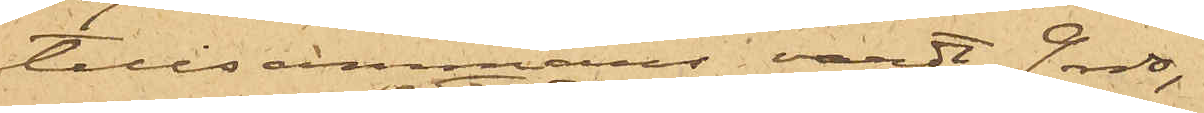tillsammans värdt 9 rdr.
